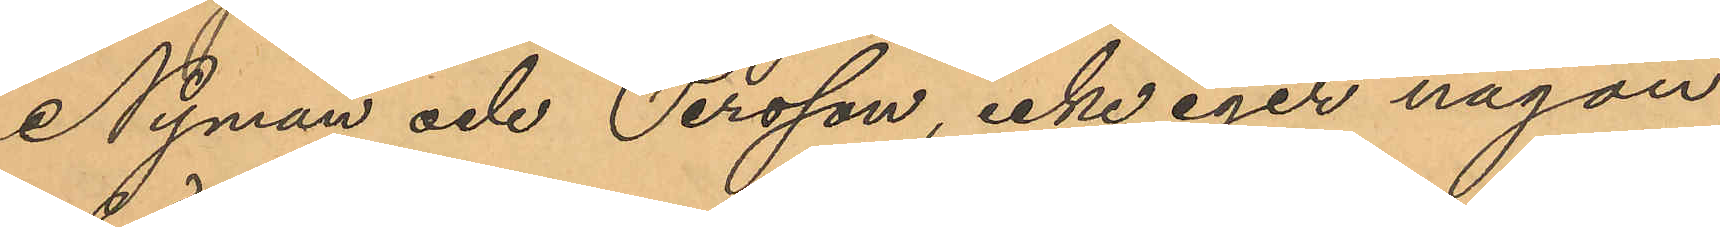Nyman och Persson, icke eger någon
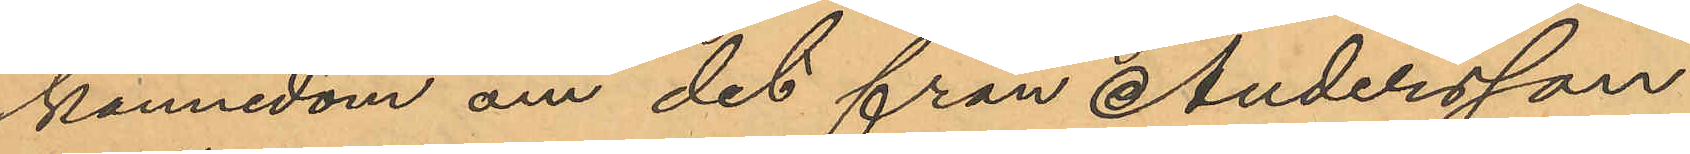kännedom om det från Andersson
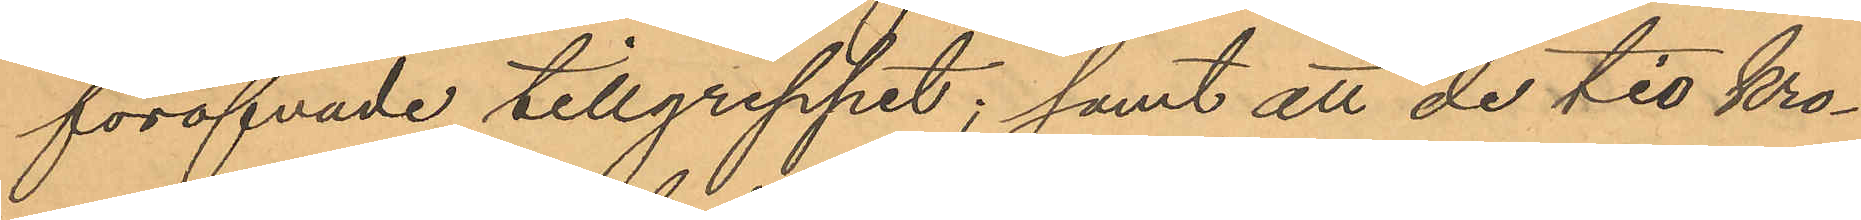föröfvade tillgreppet; samt all de tio Kro¬
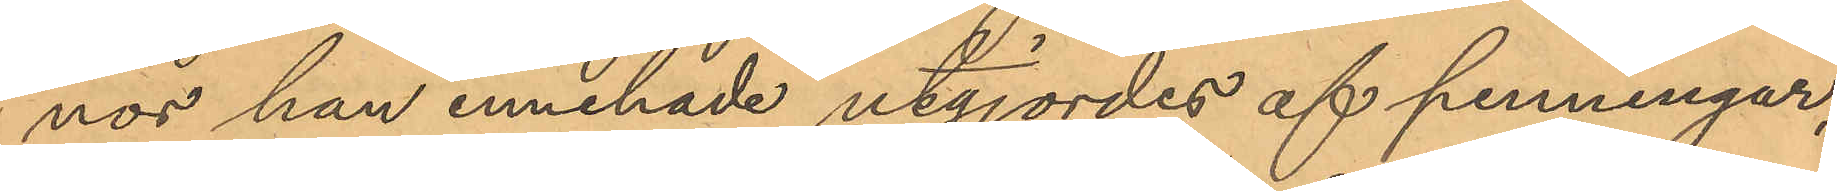nor han innehade utgjordes af penningar,
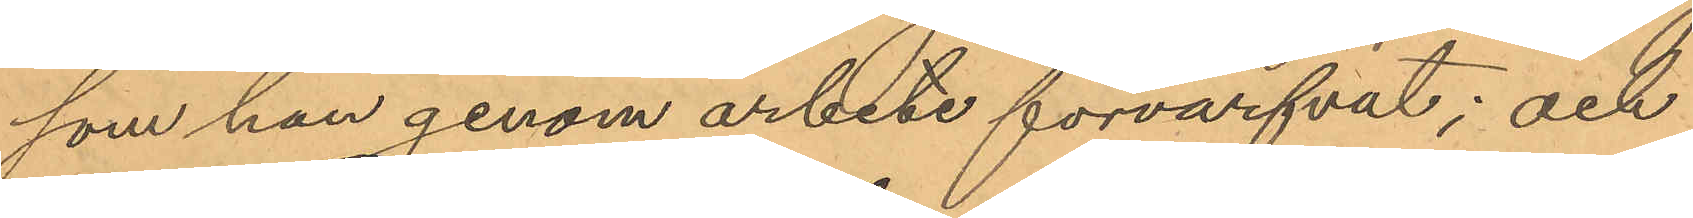som han genom arbete förvärfvat; och
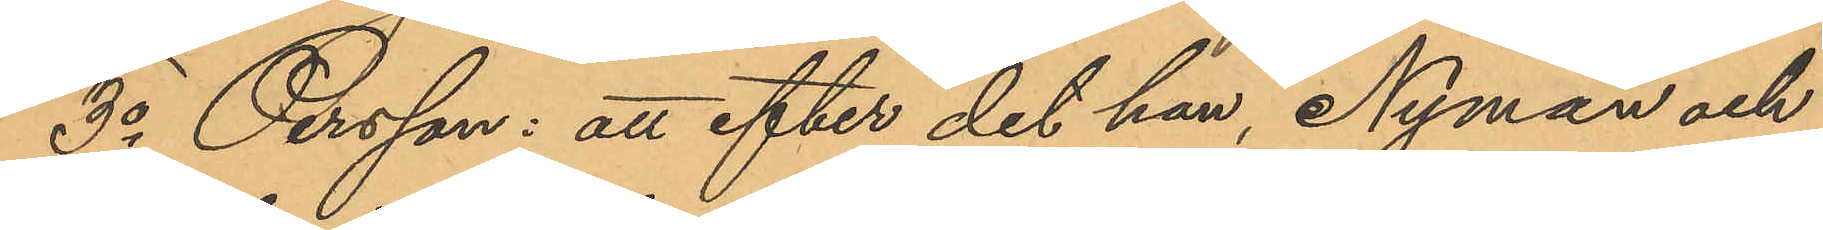3o Persson: att efter det han, Nyman och
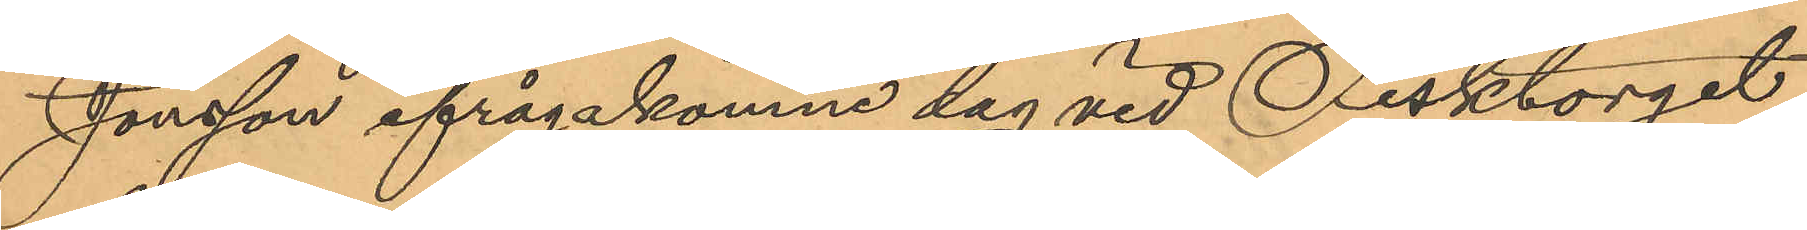Jonsson ifrågakomne dag vid Fisktorget
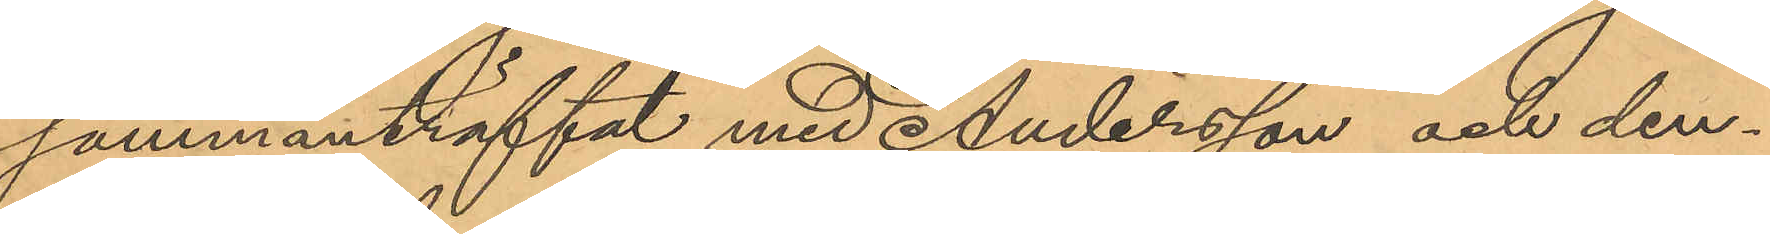sammanträffat med Andersson och den¬
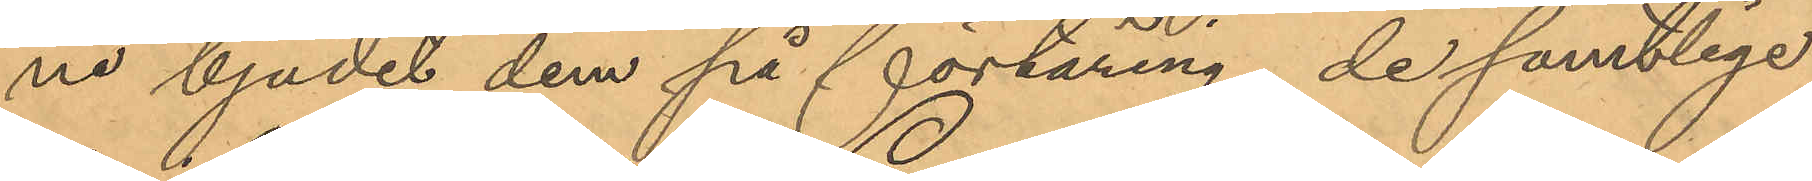ne bjudit dem på förtäring, de samtlige
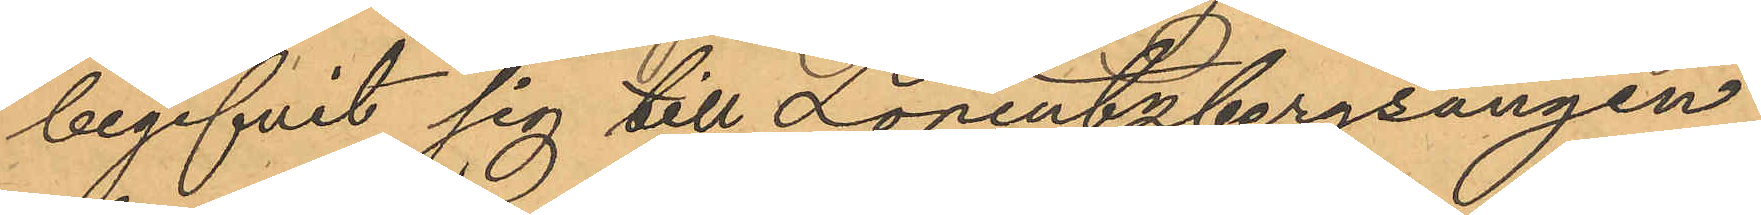begifvit sig till Lorentzbergsängen,
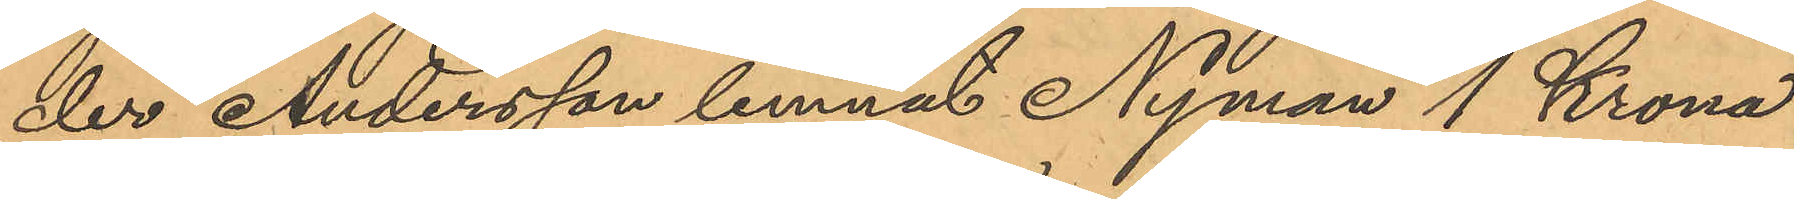der Andersson lemnat Nyman 1 Krona
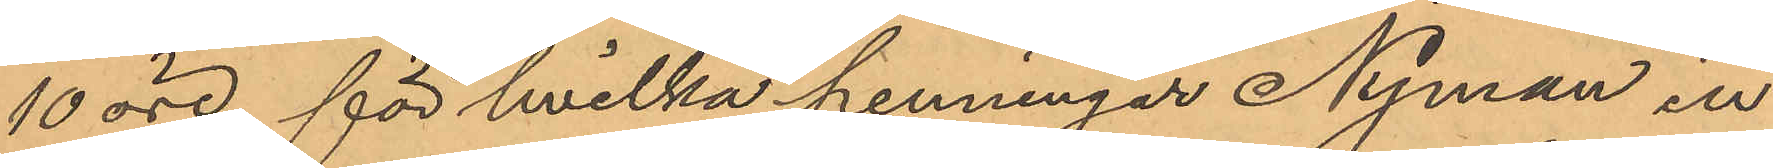10 öre, för hvilka penningar Nyman in¬
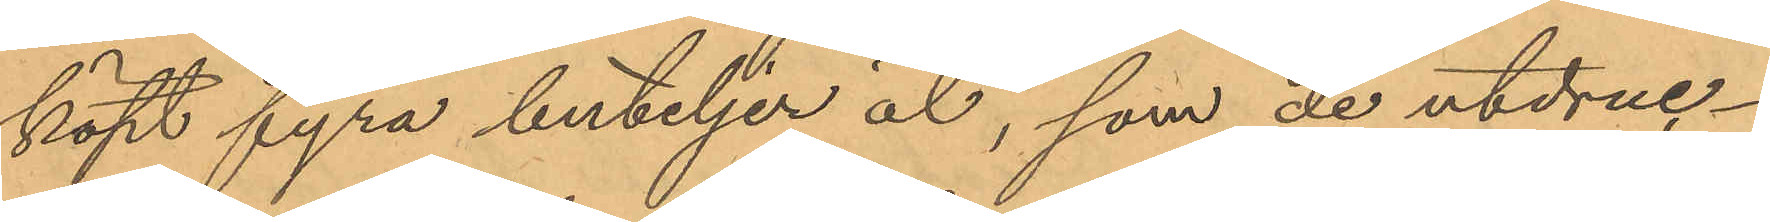köpt fyra buteljer öl, som de utdruc¬
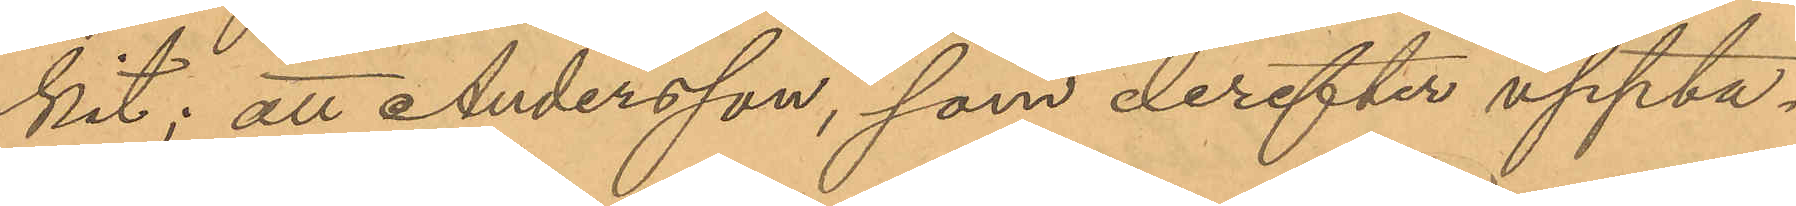kit; att Andersson, som derefter uppta¬
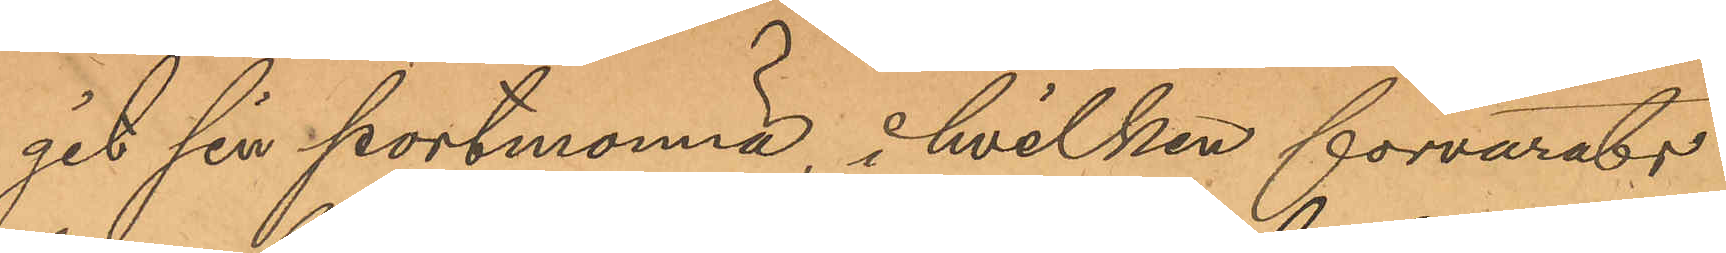git sin portmonnä, i hvilken förvarats
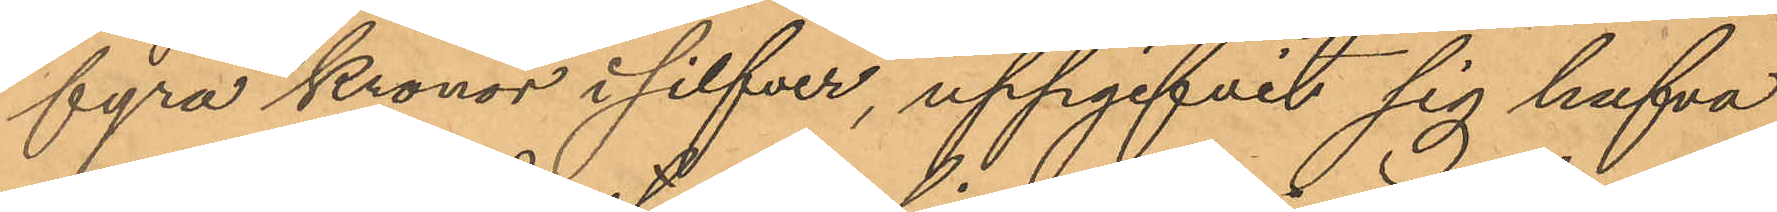fyra Kronor i silfver, uppgifvit sig hafva
